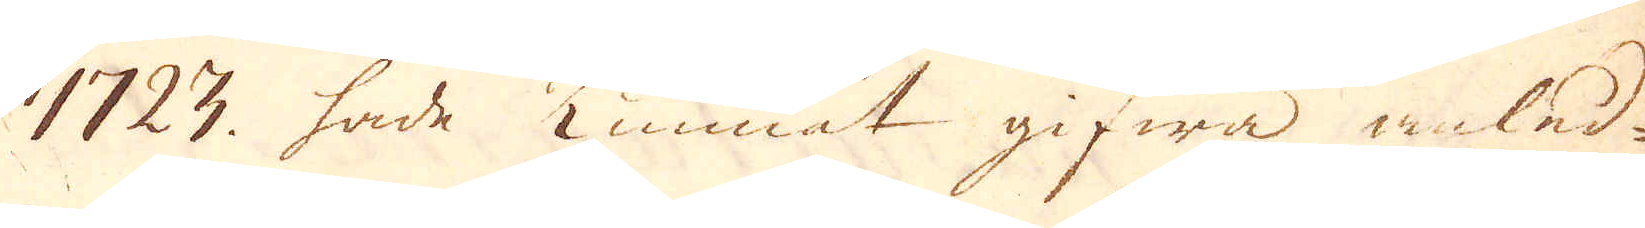1723 hade kunnat gifwa anled-
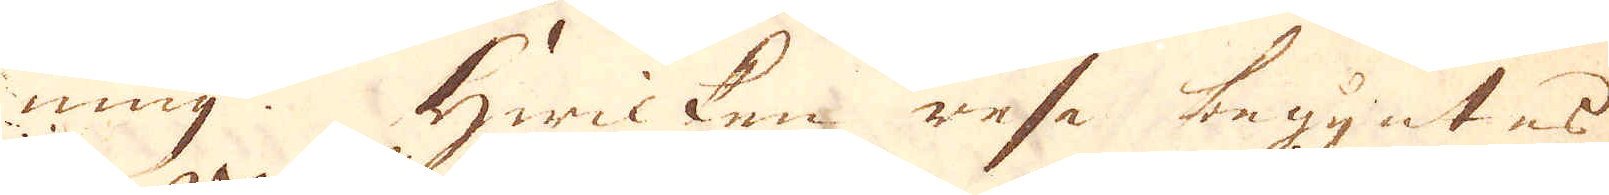ning. Hwicken resa begyntes
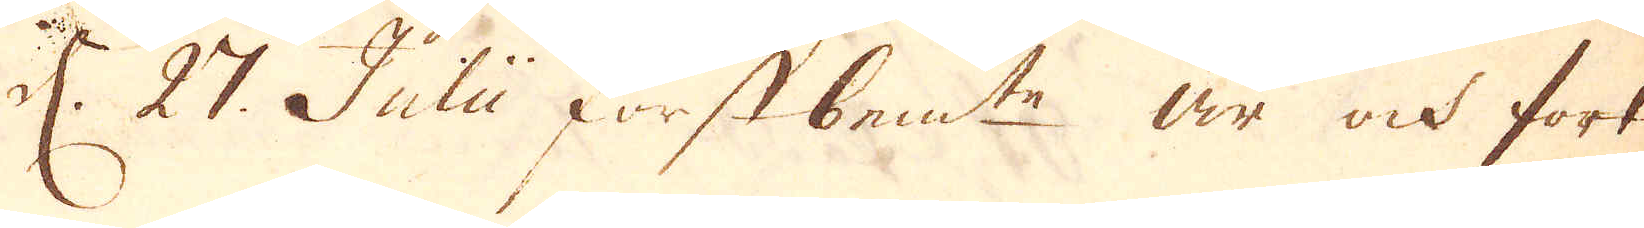d. 27. Julii förstbemte år ock fort-
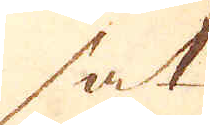sat
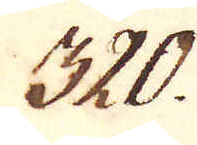320.
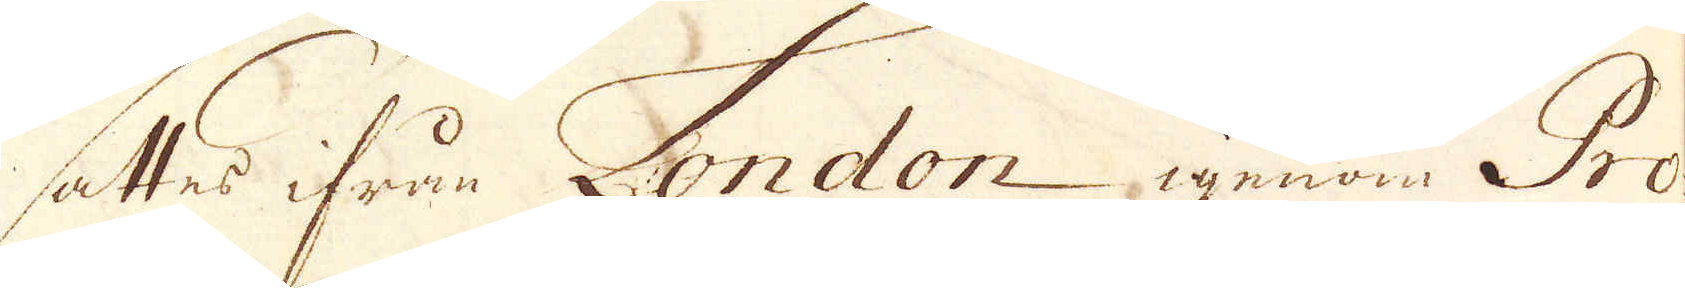sättes ifrån London igenom Pro-
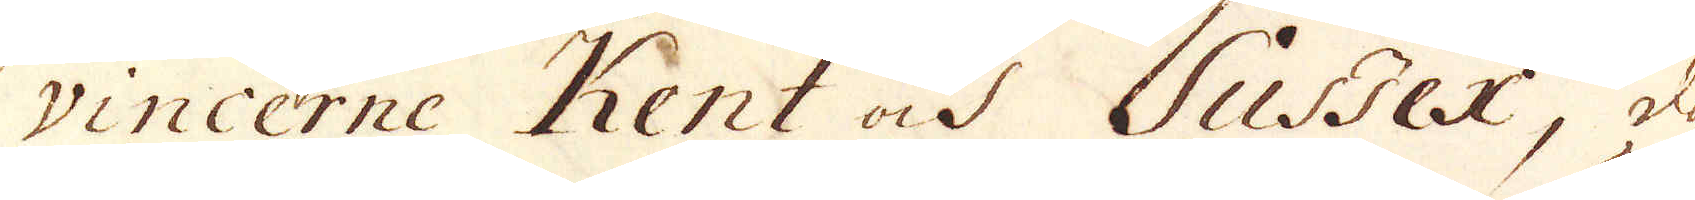vincerne Kent och Sussex, då
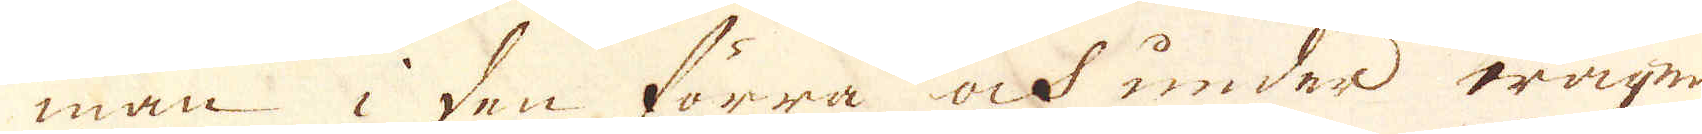man i den förra ock under wägen
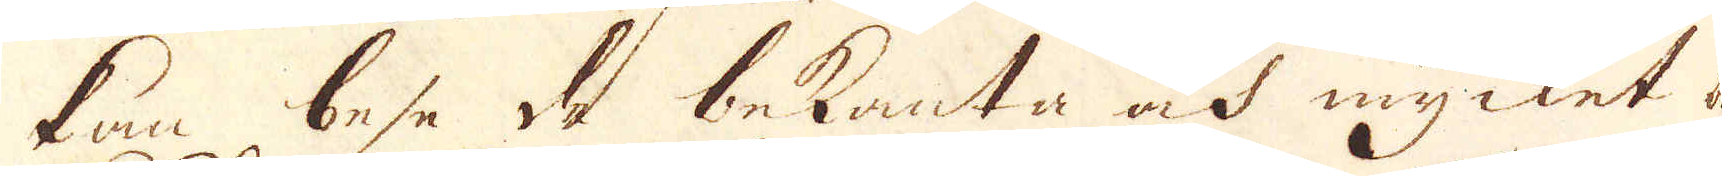kan bese de bekanta ok mycket be-
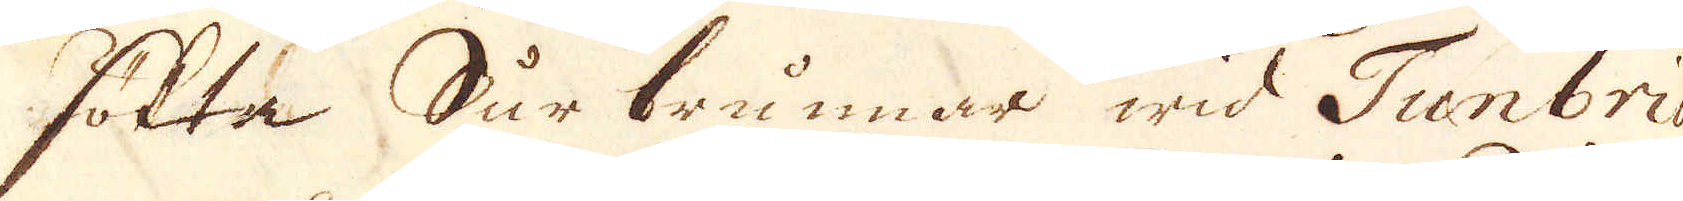sökte Cur brunnar wid Tunbrid-
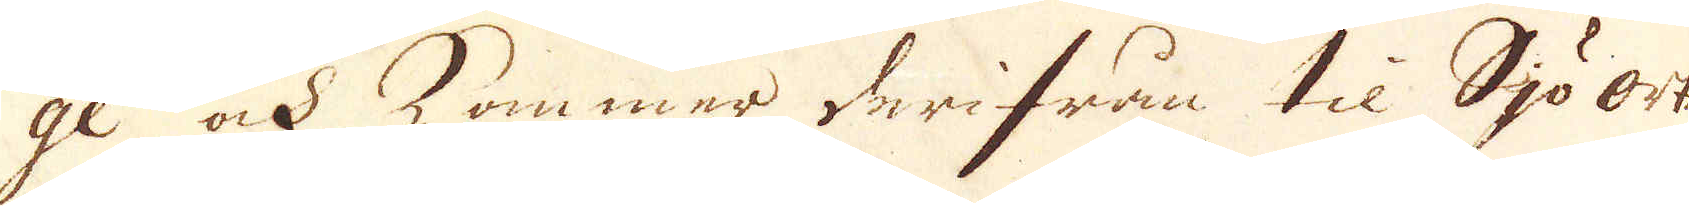ge ock kommer derifrån til Sjöorten
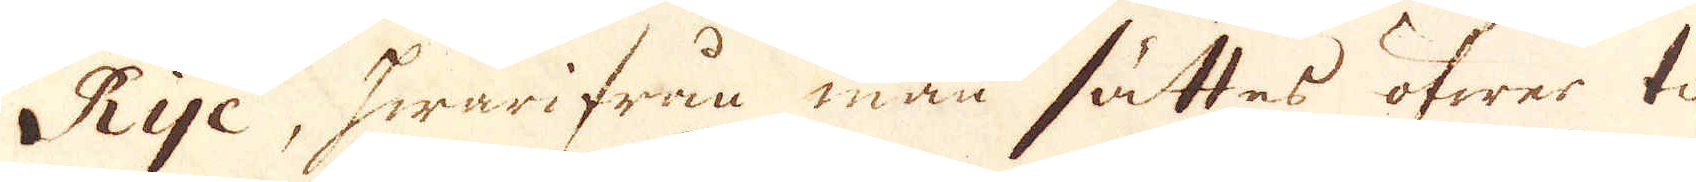Rye, hwarifrån man sättas öfwer till
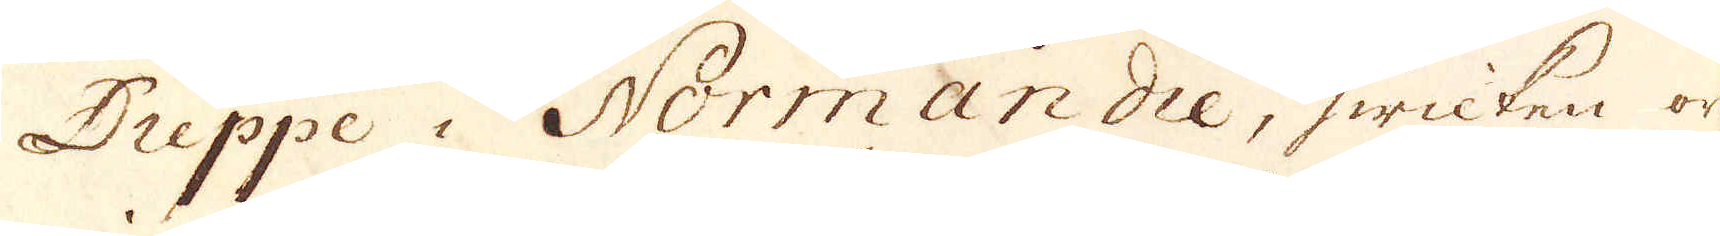Dieppe i Normandie, hwilken ort
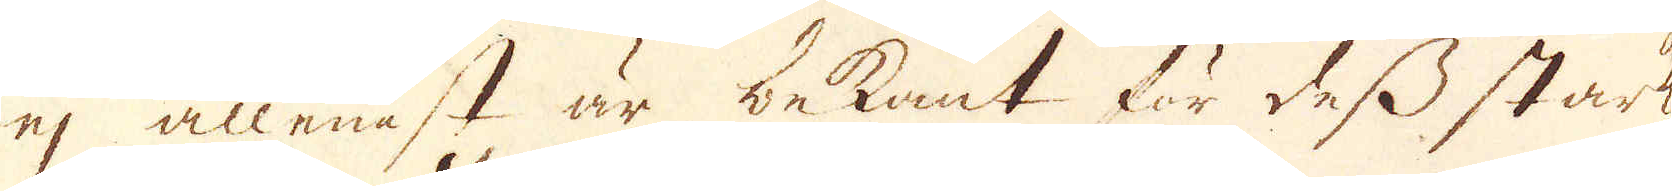ej allest är bekant för dess starka
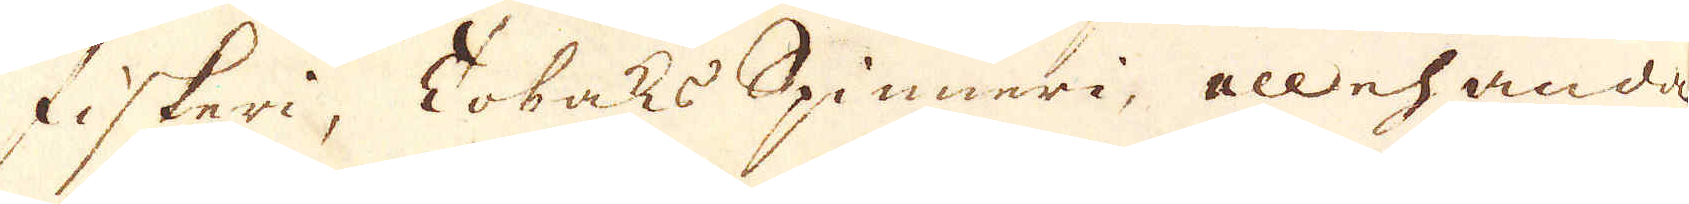fiskeri, Tobak Spinneri, allehanda
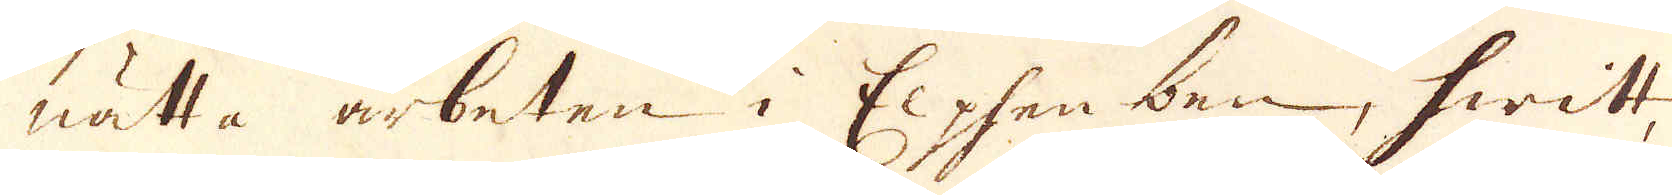nätta arbeten i Elphenben, hwitt,
